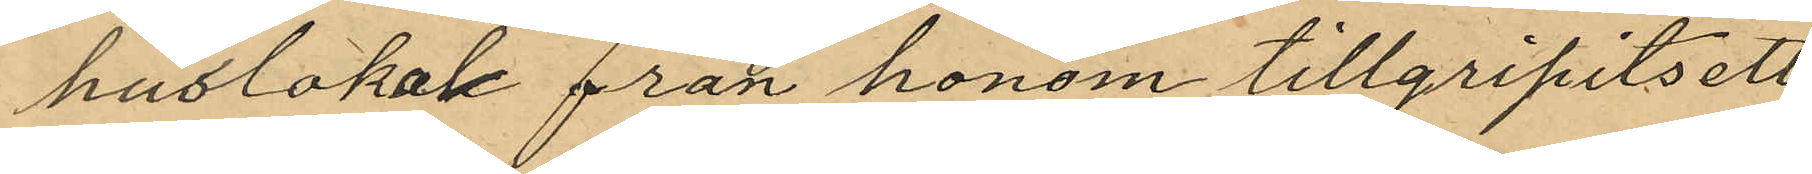huslokal från honom tillgripits ett
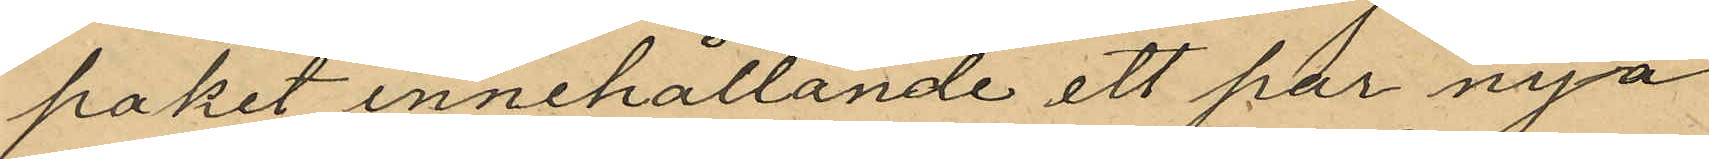paket innehållande ett par nya
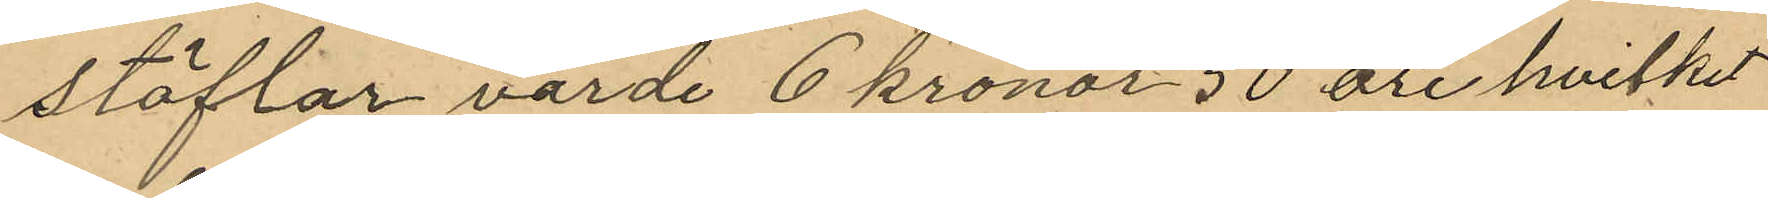stöflar värde 6 kronor 50 öre hvilket
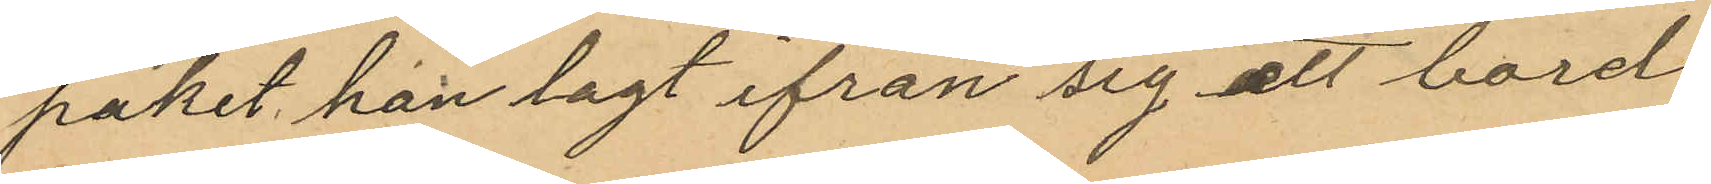paket han lagt ifrån sig ett bord
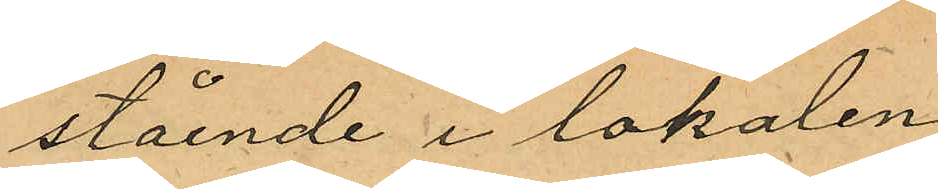stående i lokalen
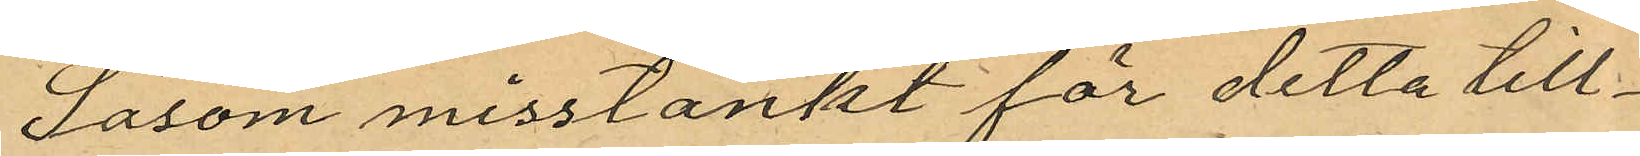Såsom misstänkt för detta till¬
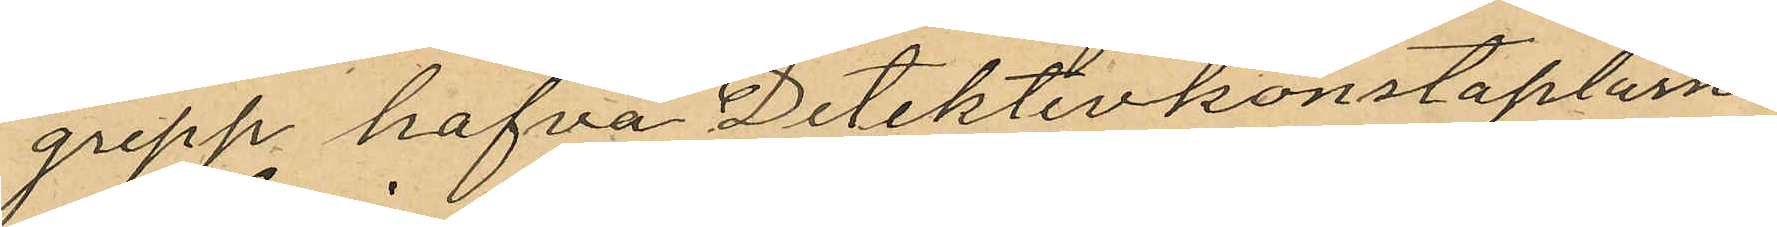grepp hafva Detektivkonstaplarne
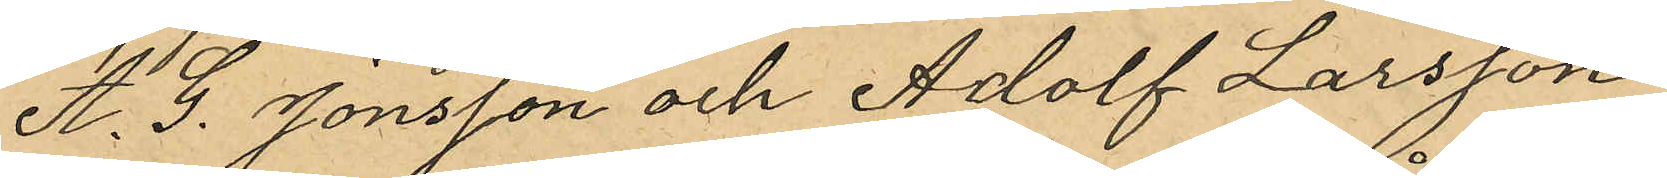A. G. Jonsson och Adolf Larsson
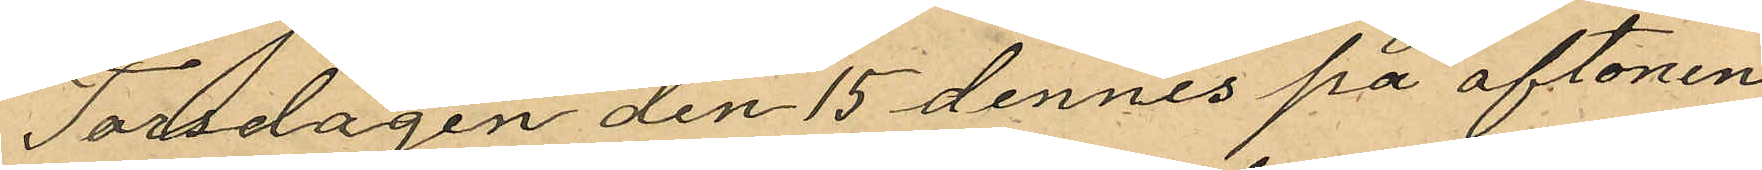Torsdagen den 15 dennes på aftonen
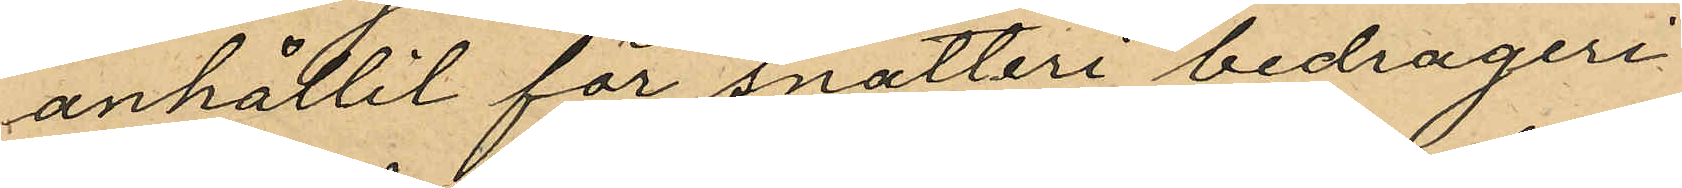anhållit för snatteri bedrägeri
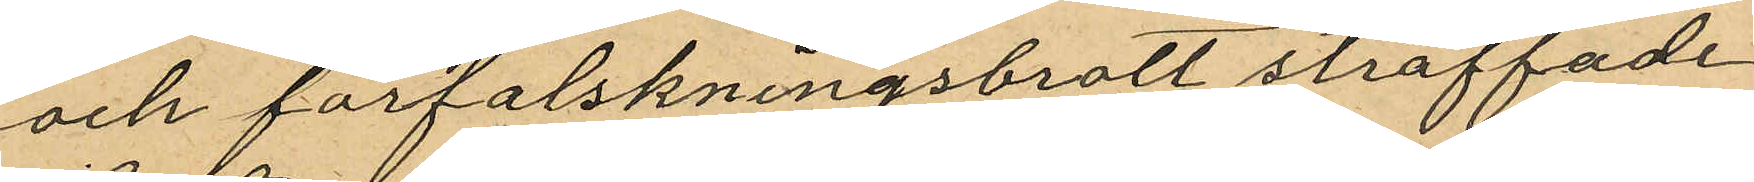och förfalskningsbrott straffade
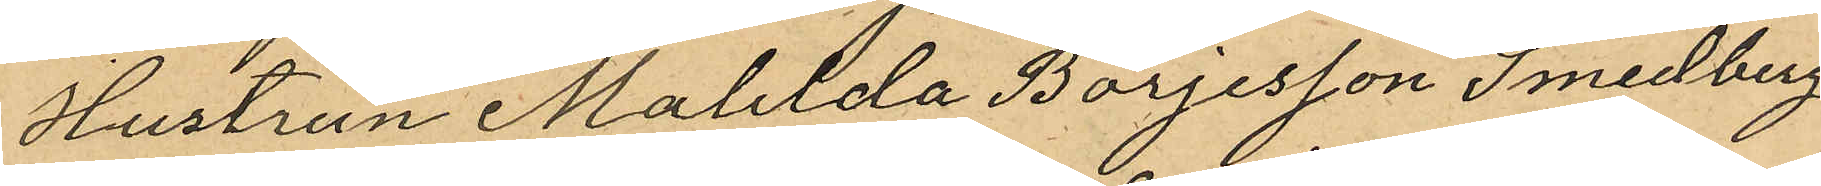Hustrun Matilda Börjesson Smedberg
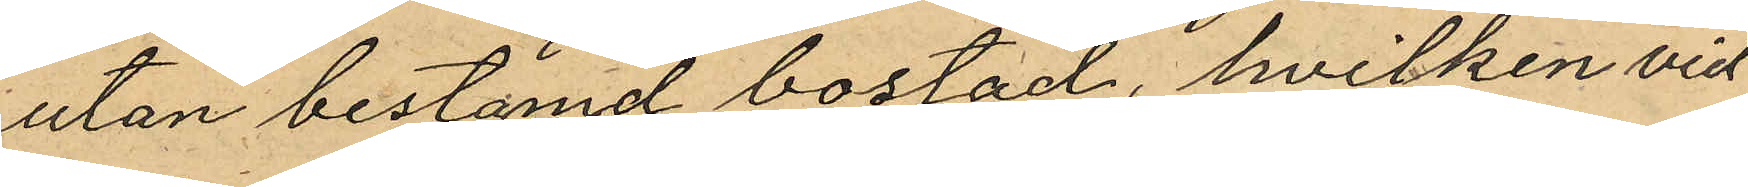utan bestämd bostad, hvilken vid
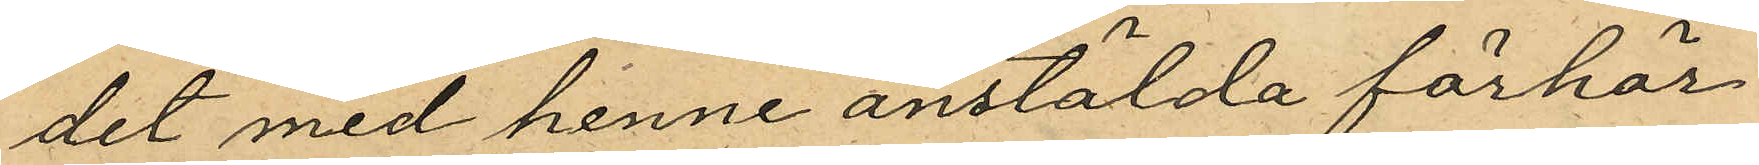det med henne anstälda förhör
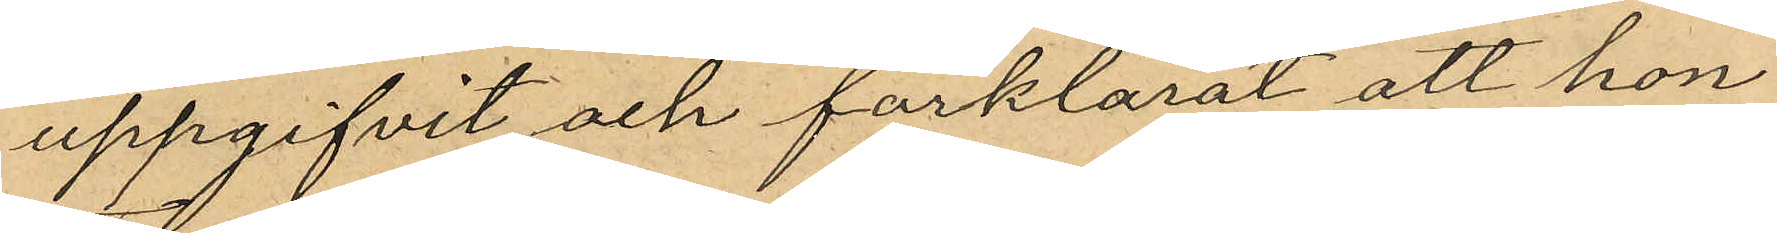uppgifvit och förklarat att hon
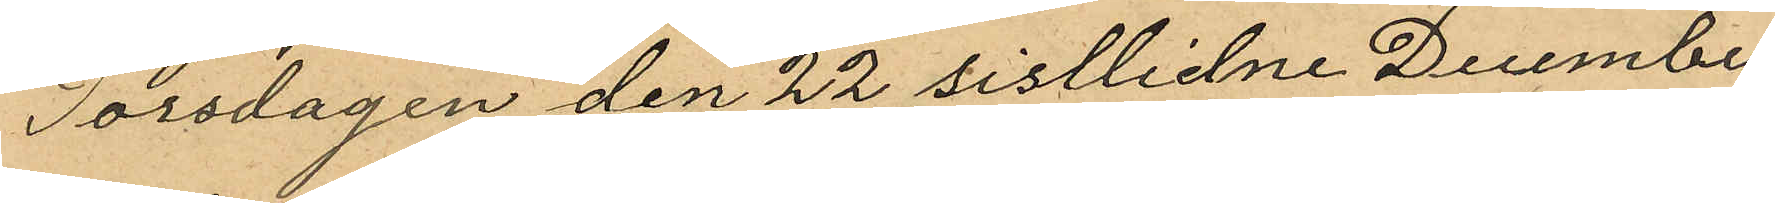Torsdagen den 22 sistlidne December
